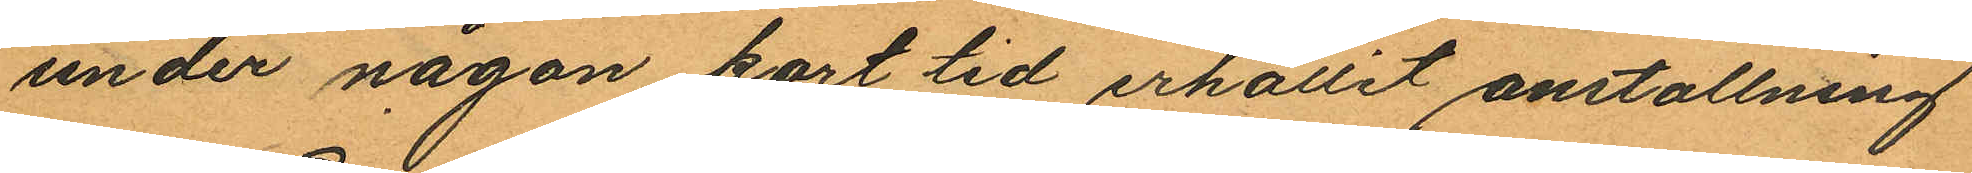under någon kort tid erhållit anstallning
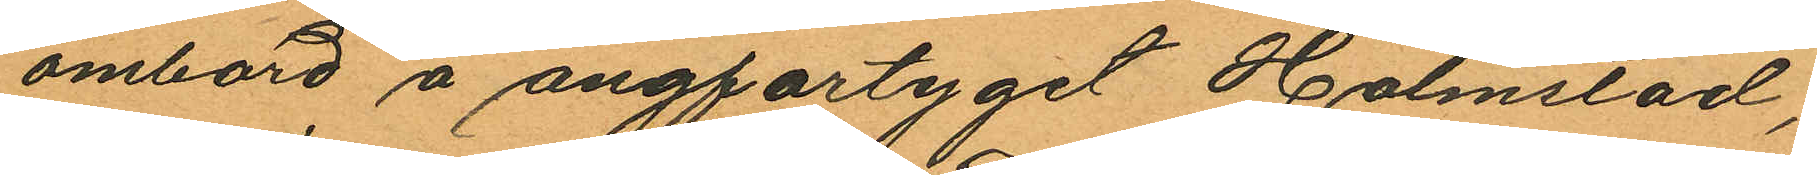ombord å ångfartyget Halmstad;
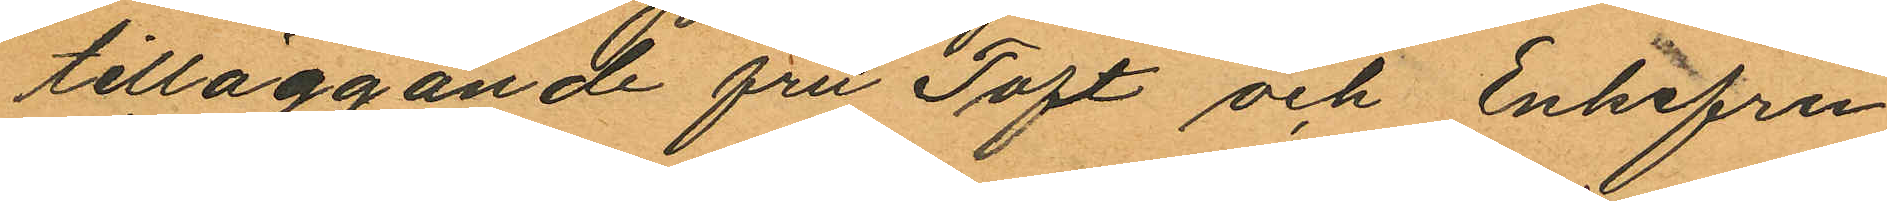tilläggande fru Toft och Enkefru
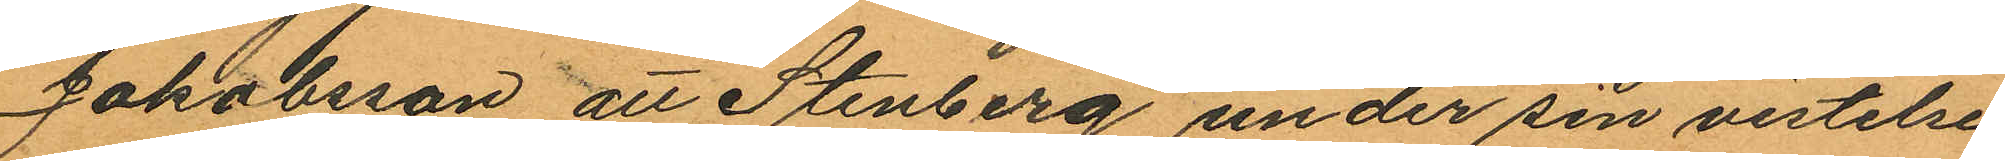Jakobsson att Stenberg under sin vistelse
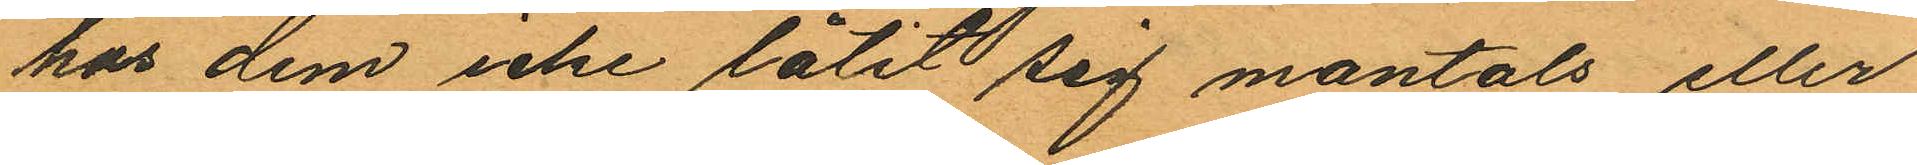hos dem icke låtit sig mantals eller
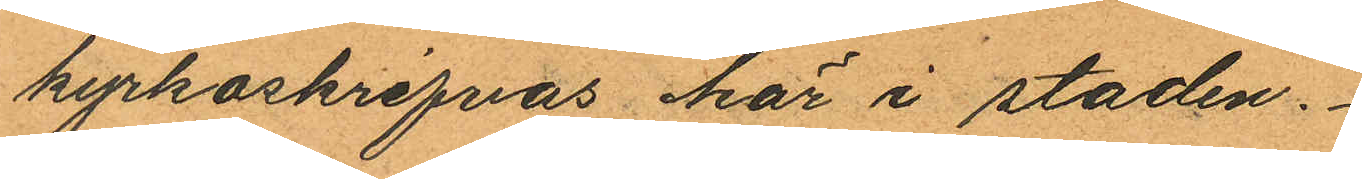kyrkoskrifvas här i staden.
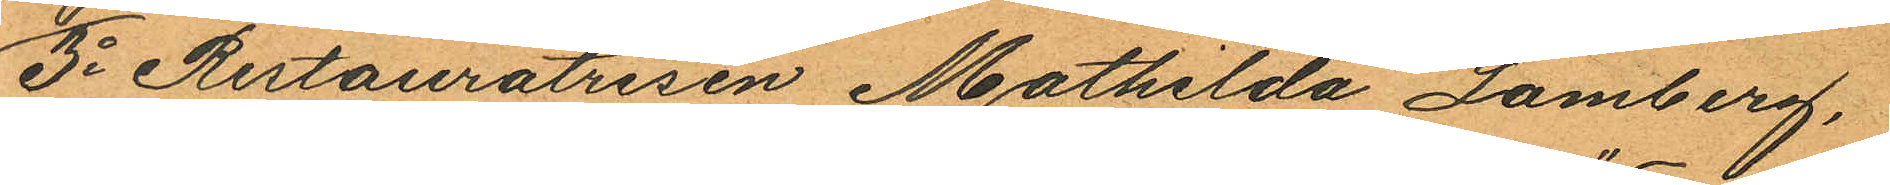3o Restauratrisen Mathilda Lamberg,
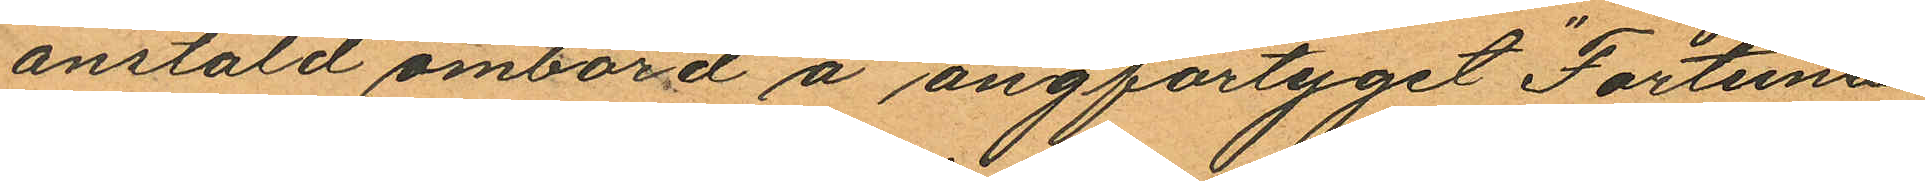anstäld ombord å ångfartyget "Fortuna"
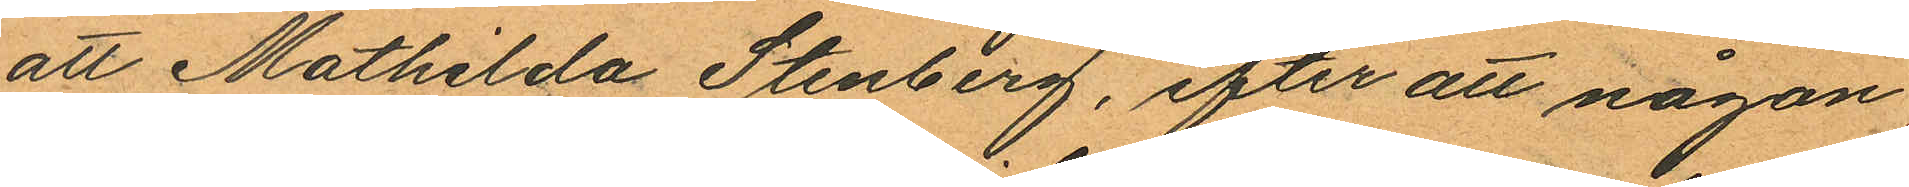att Mathilda Stenberg, efter att någon
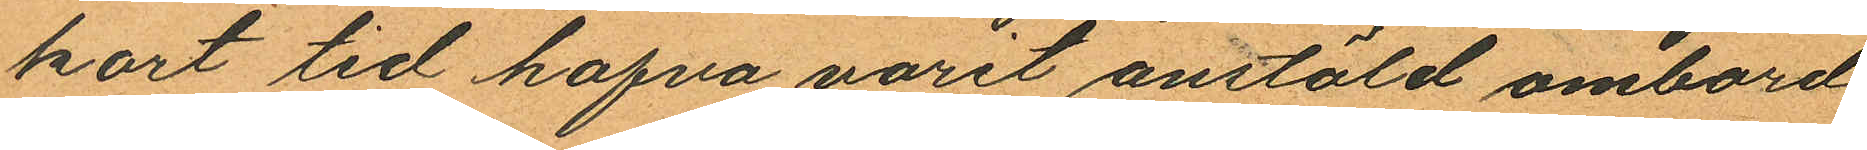kort tid hafva varit anstäld ombord
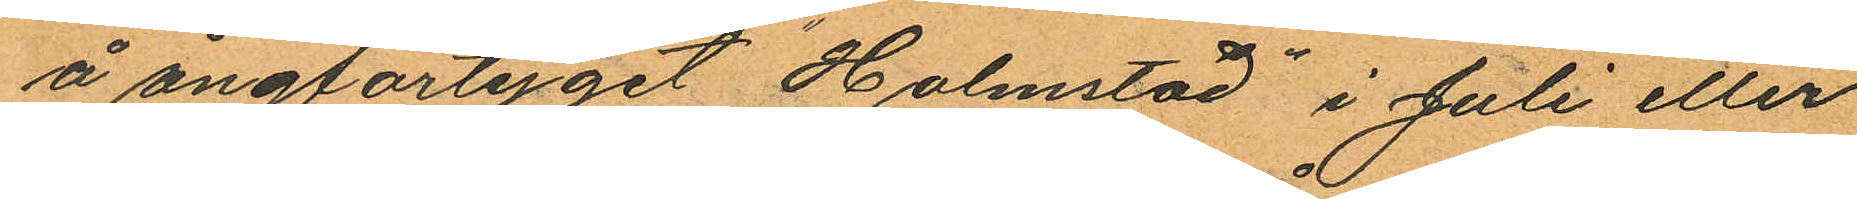å ångfartyget "Halmstad" i Juli eller
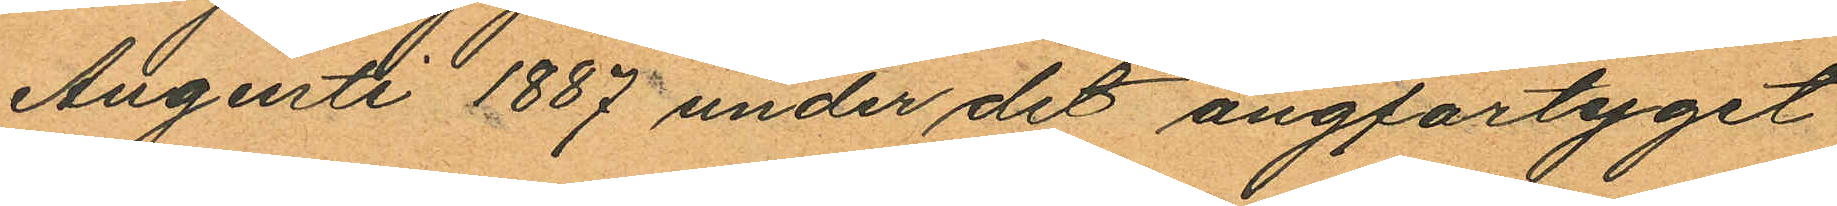Augusti 1887 under det ångfartyget
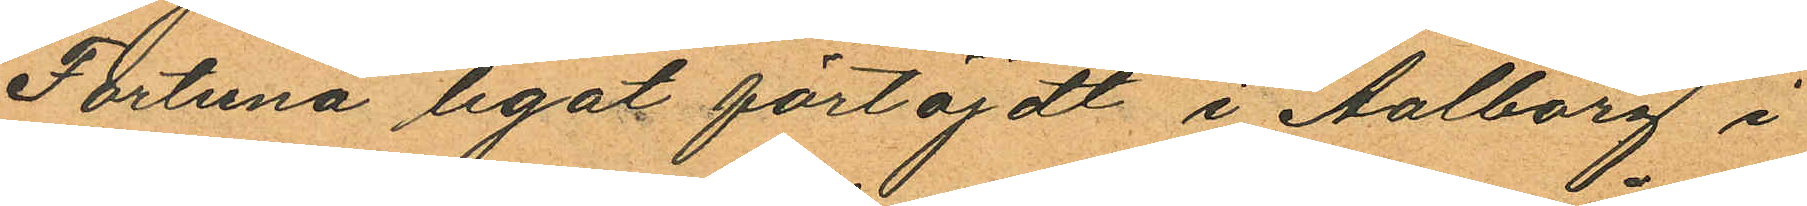Fortuna legat förtöjdt i Aalborg i
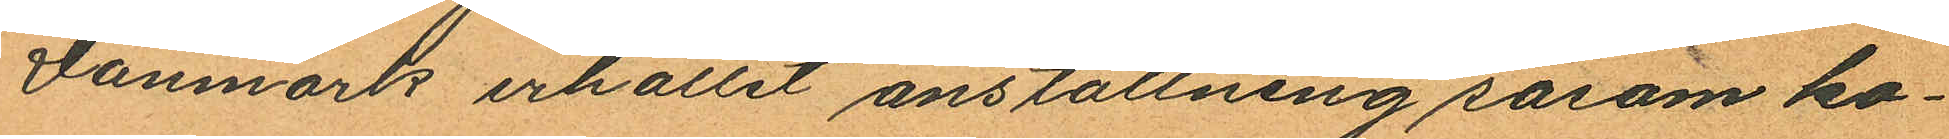Danmark erhållit anställning såsom ko¬
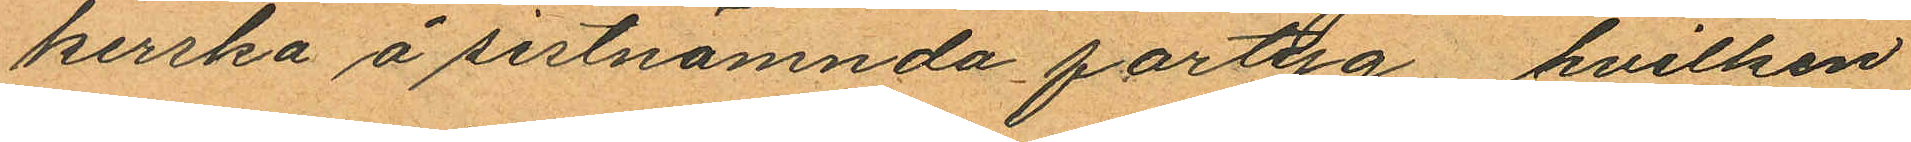kerska å sistnämnda fartyg, hvilken
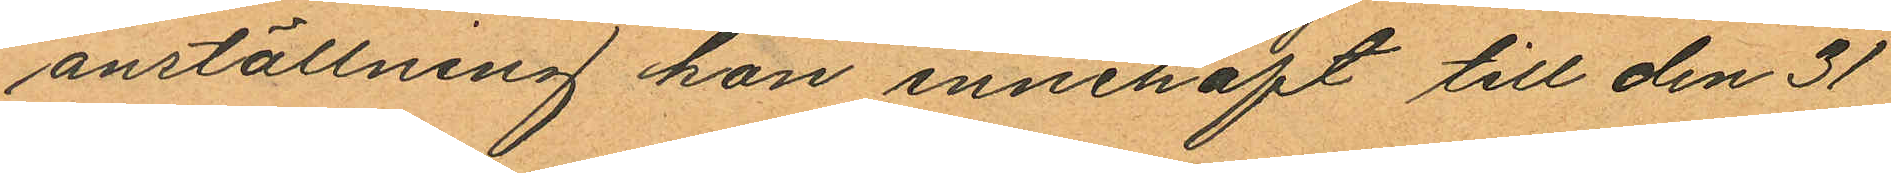anställning hon innehaft till den 31
